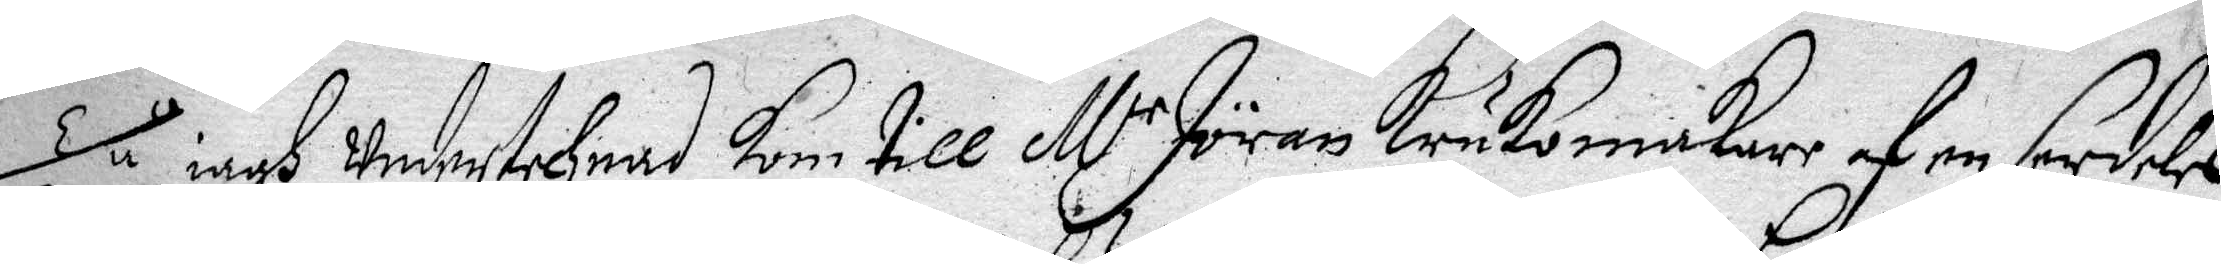Tu iagh undertechnad kom till M.r Jöran Krukomakare af en serdeles
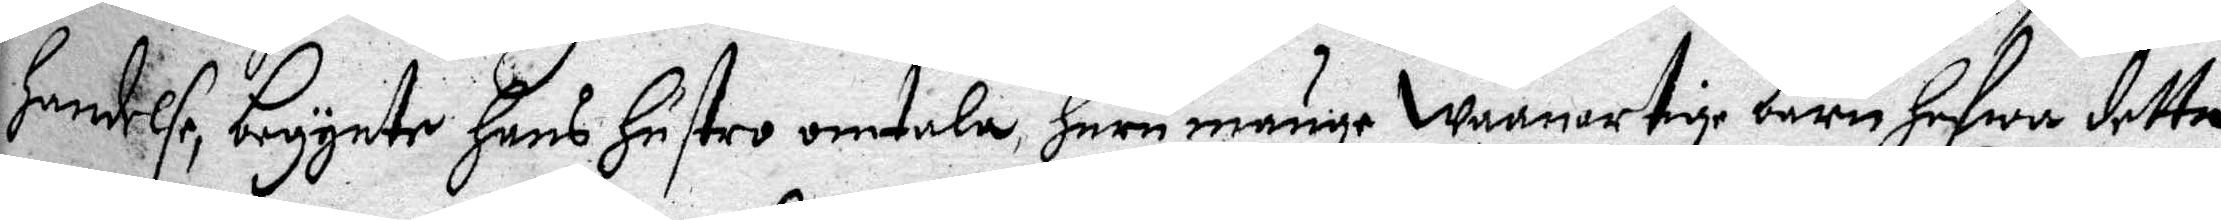Hendelse, begynte Hans Hustro omtala Huru månge wanartige Barn hafwa detta
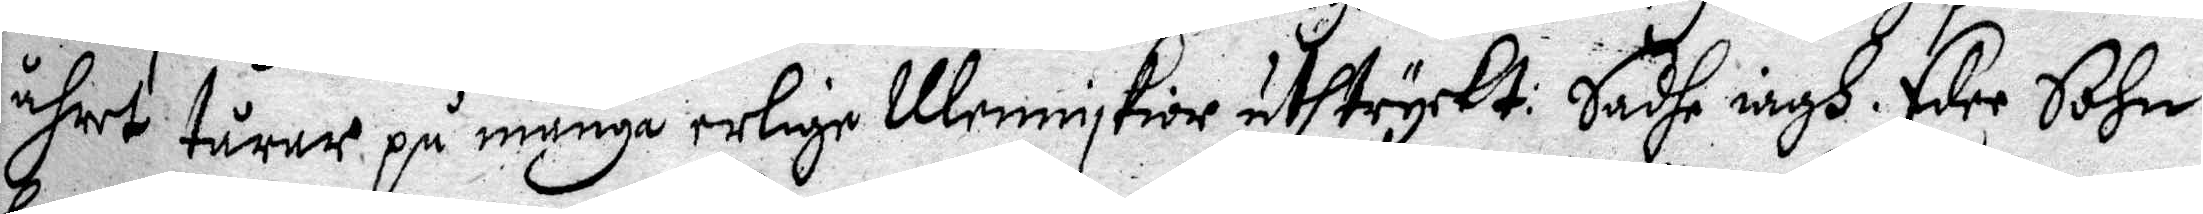åhret turer på många erlige Menniskior uthtryckt: Sade iagh Eder Sohn
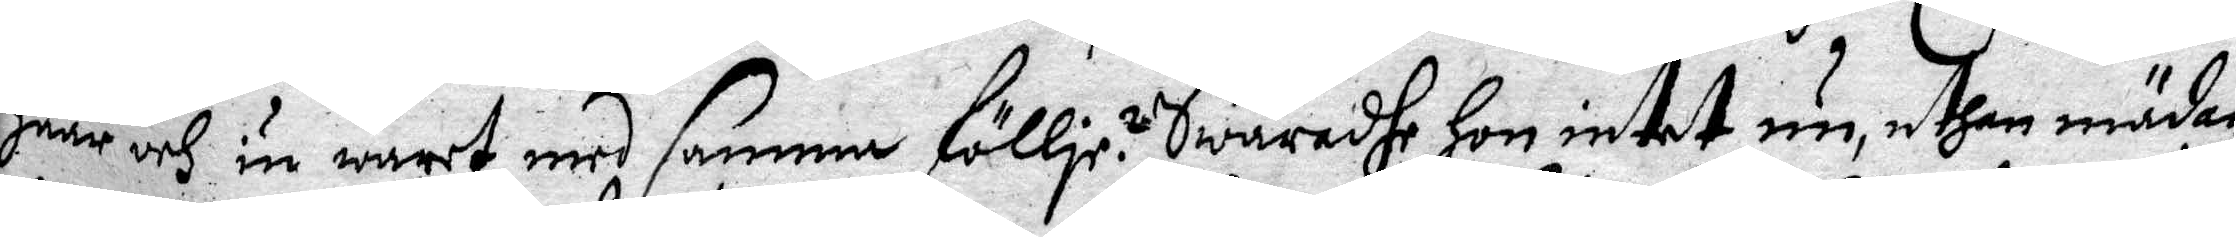Haar och iu waret med samma föllje. Swaradhe Hon intet nu, uthan mädan
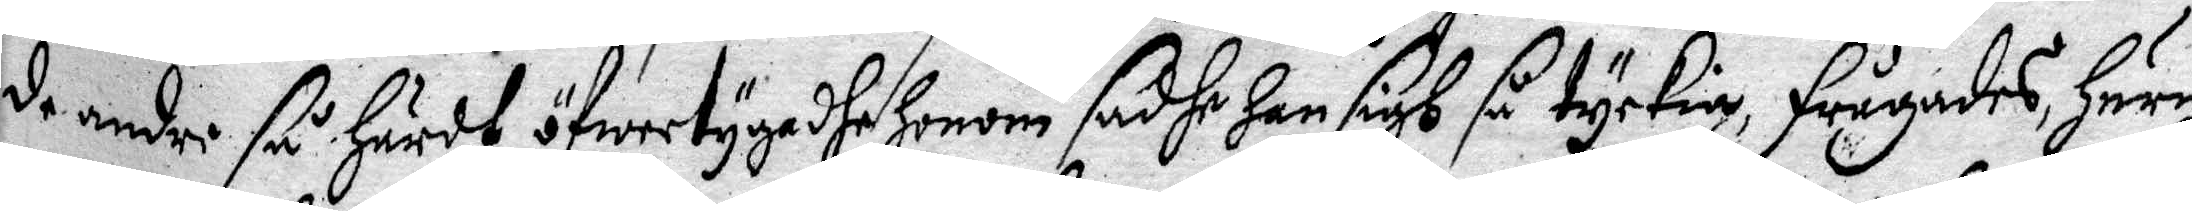de andre så Hårdt öfwertygadhe Honom sadhe Han sigh så tyckia, frågades, Huru
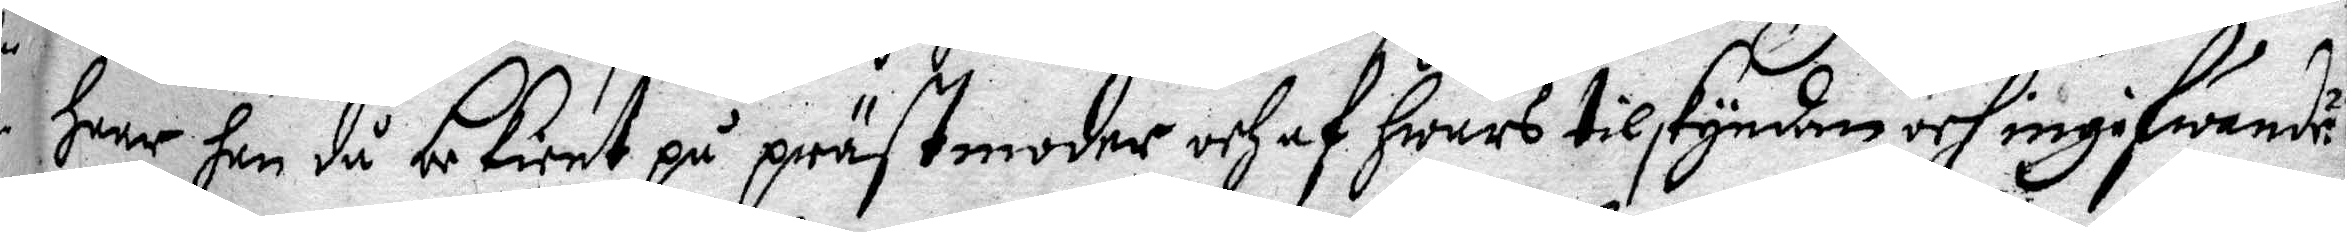Haar Han då bekient på prästmoder och af Hwars tilskyndan och ingifwande?
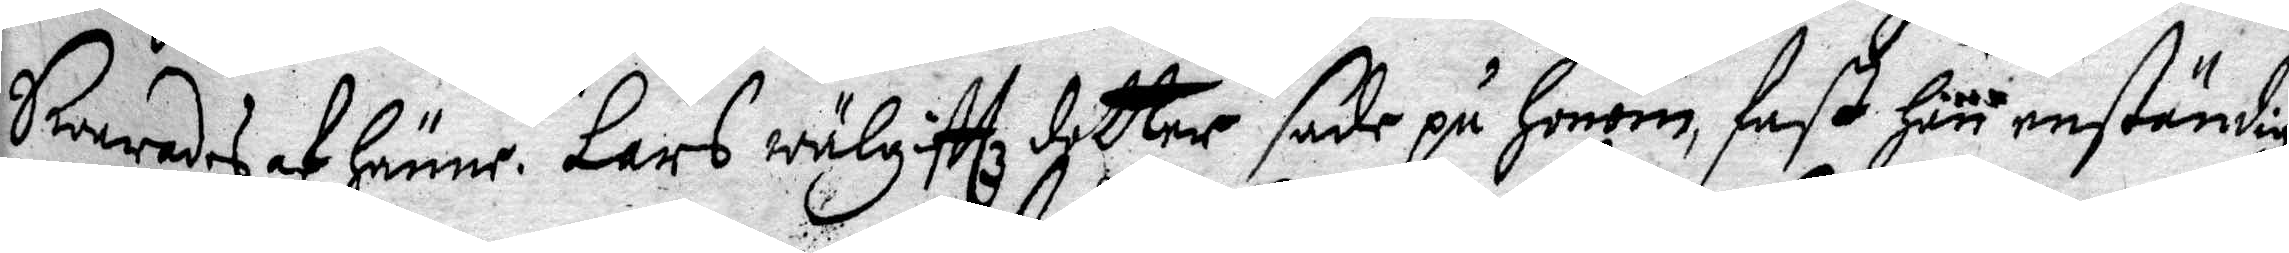Swarades af Hänne. Lars wälgittz dotter sade på Honom fast Han enständigt
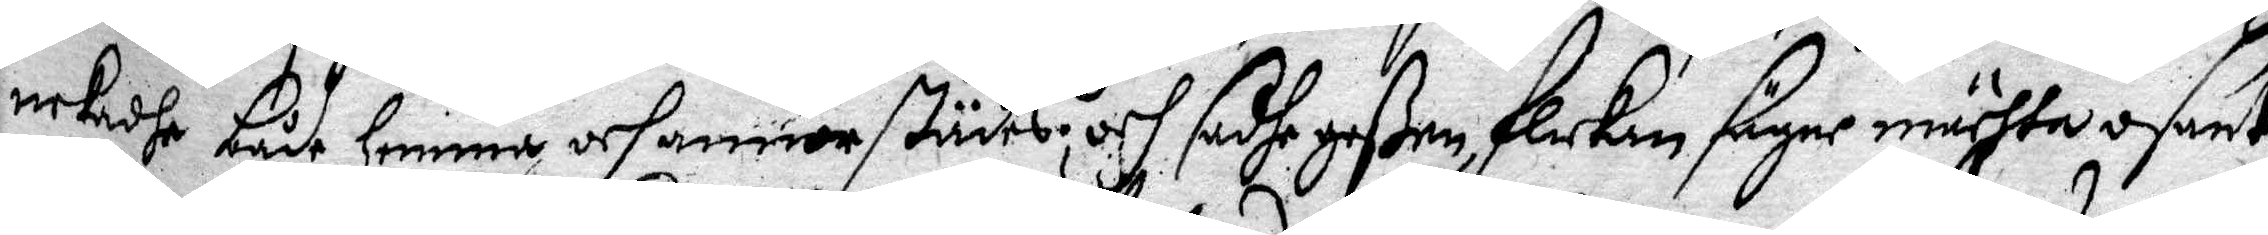nekade både Hemma och annorstädes; och sadhe goßen, Flickan säger mästa osant
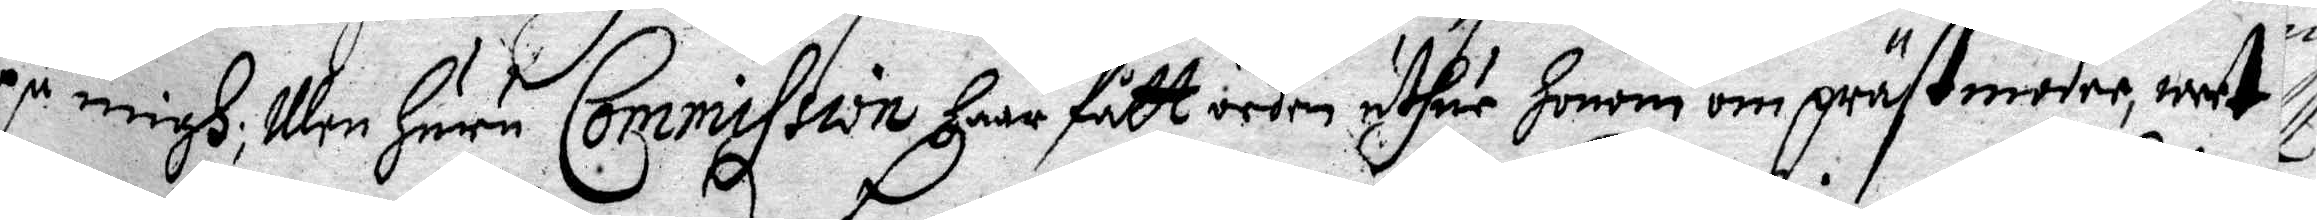på migh; Men Huru Commission Haar fått orden uthur Honom om prästmoder, weet
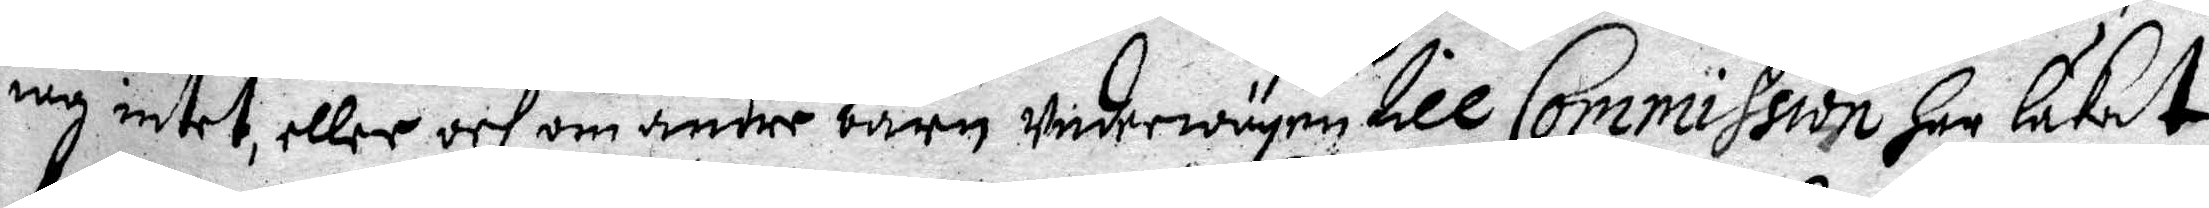iag intet, eller och om andre Barn underwägen till Commission Har låkat
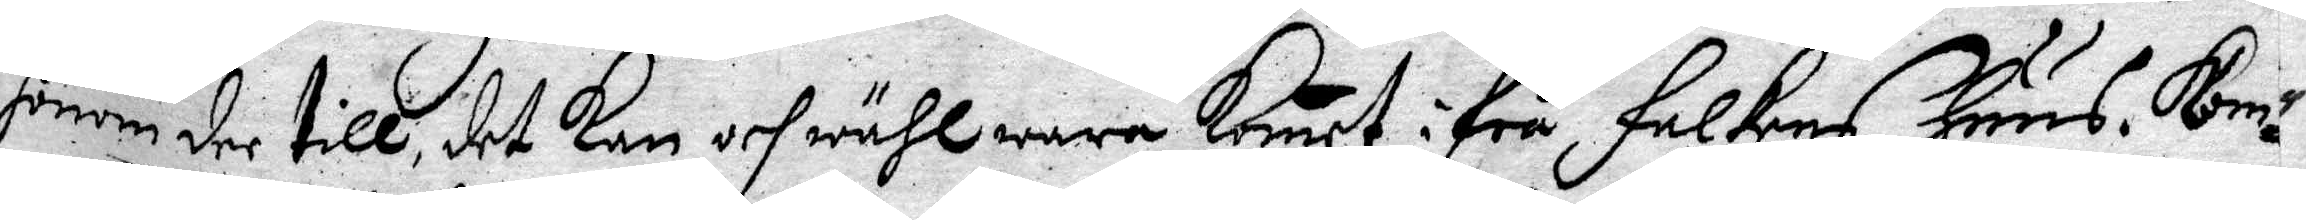Honom der till, det kan och wähl wara komet ifrå Falkens Huus. Kom¬
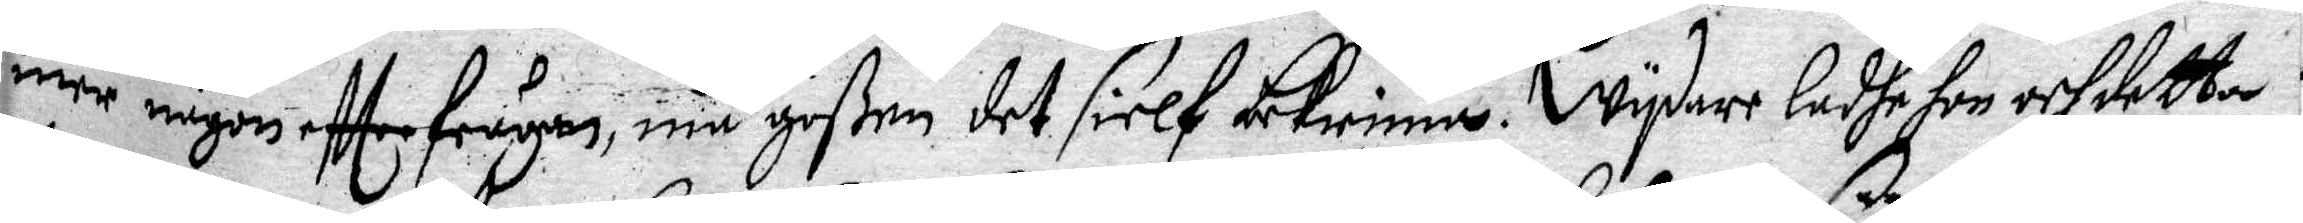mer någon eftterfrågan, må goßen det sielf bekienna. wydare ladhe hon och detta
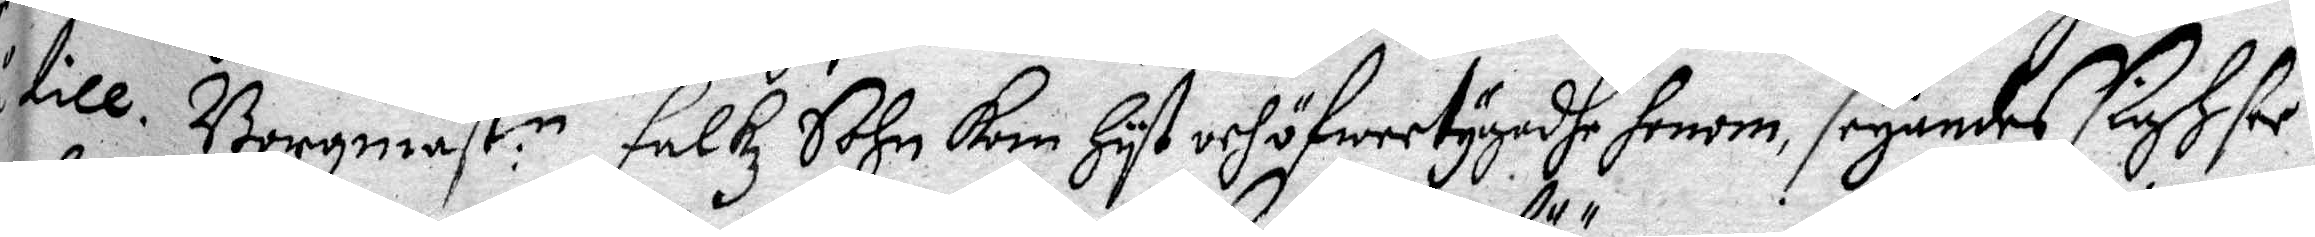till Borgmäst:n Falkz Sohn kom Hyt och öfwertygadhe Honom, säyandes sigh för
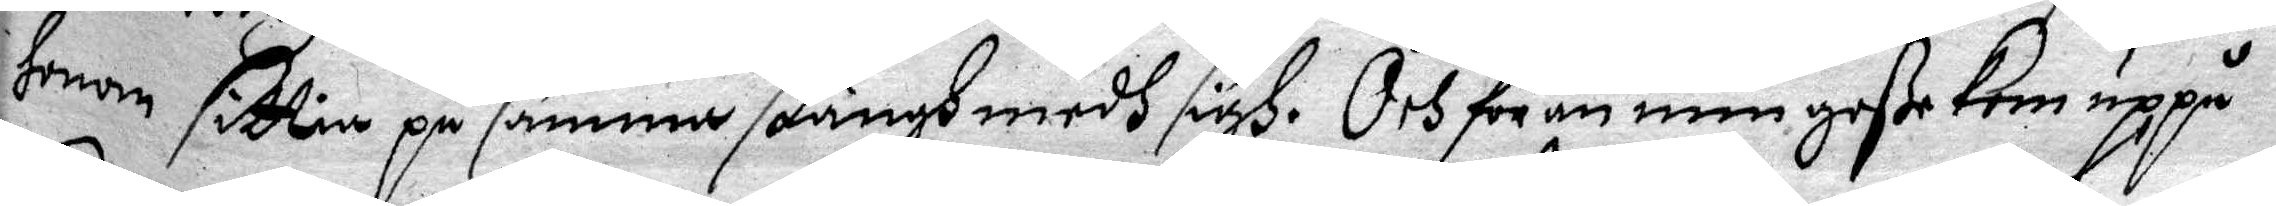Honom sittia på samma stängh medh sigh. Och för än min goße kom uppå
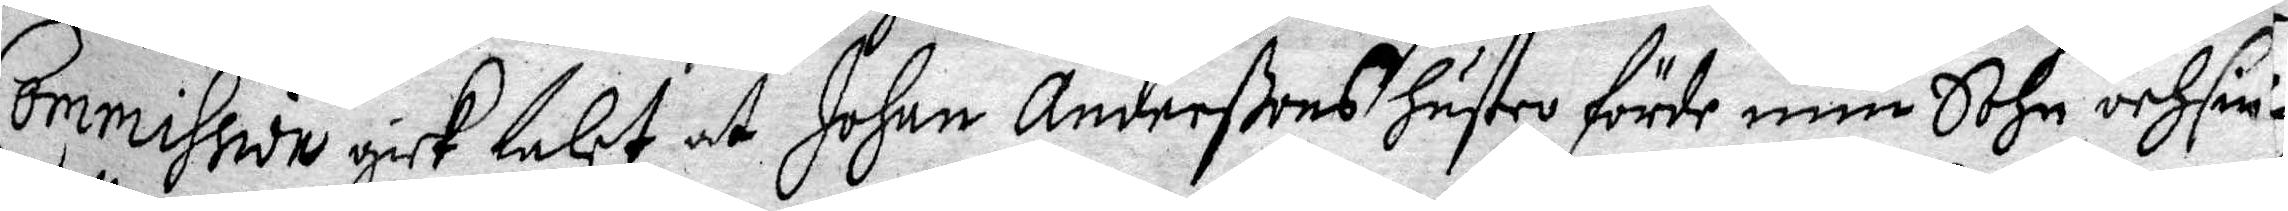Commission gick talet at Johan Anderßons Hustru förde min Sohn och sin
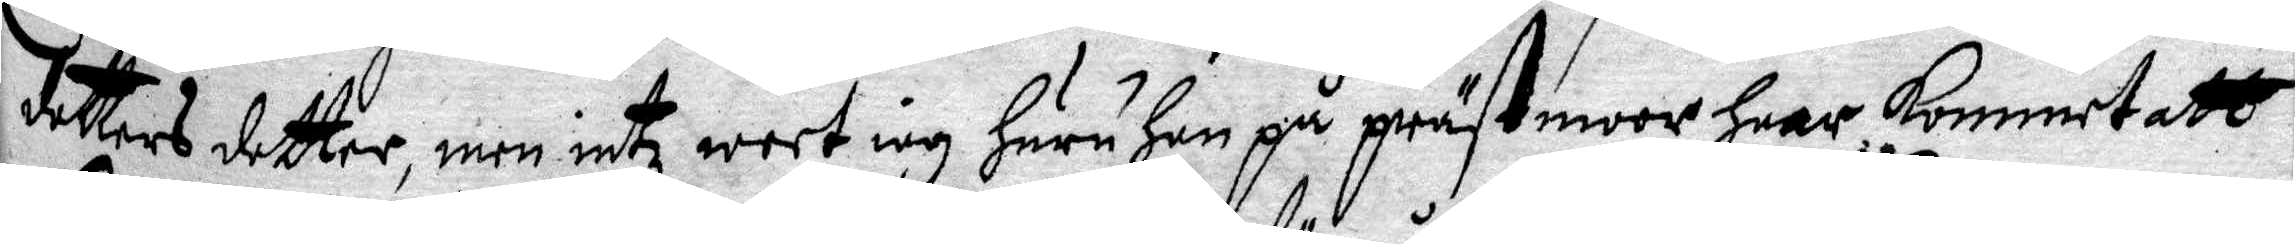dotters dotter, men intz weet iag Huru Han på prästmoor Haar kommet att
